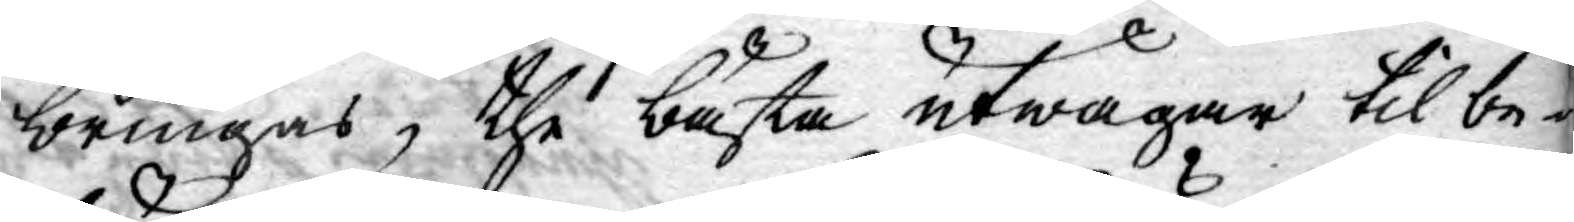bringas, the bästa utwägar til be¬
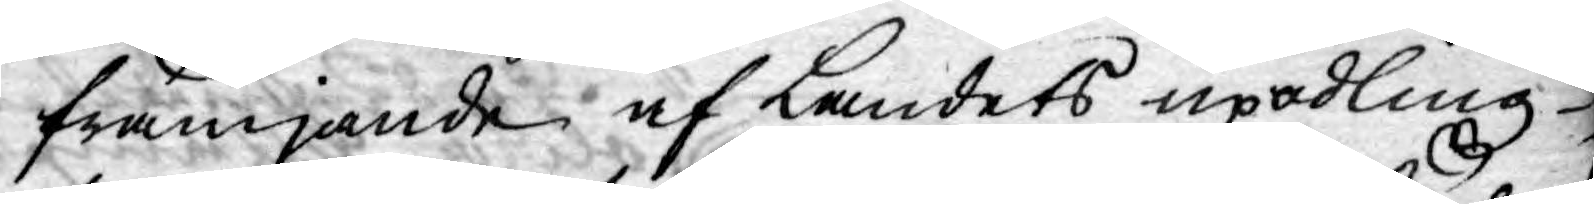främjande af Landets upodling
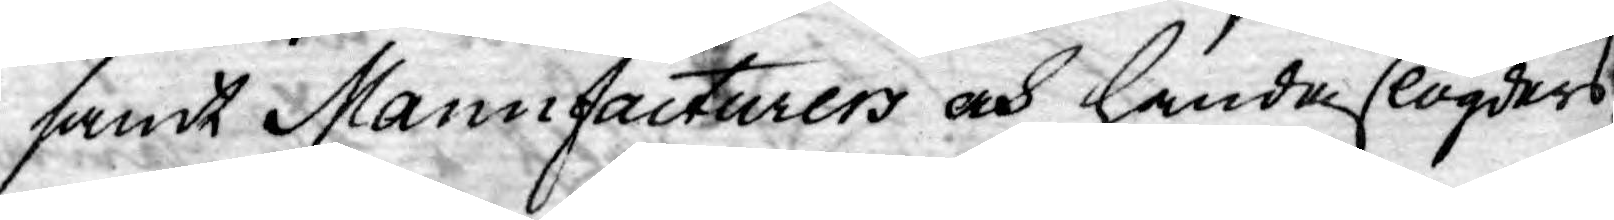samt Manufacturers och handaslögders
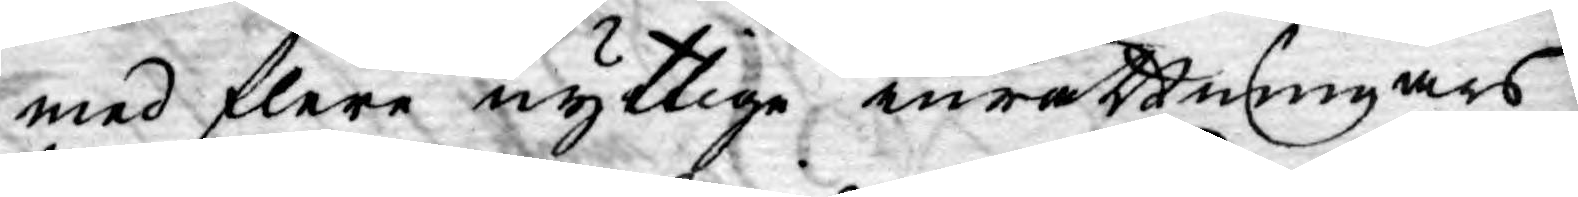med flere nyttige inrättningars
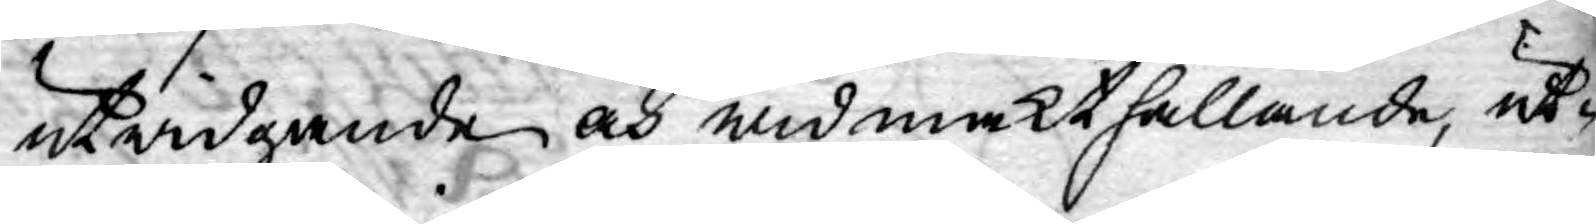utwidgande och widmakthållande, ut¬
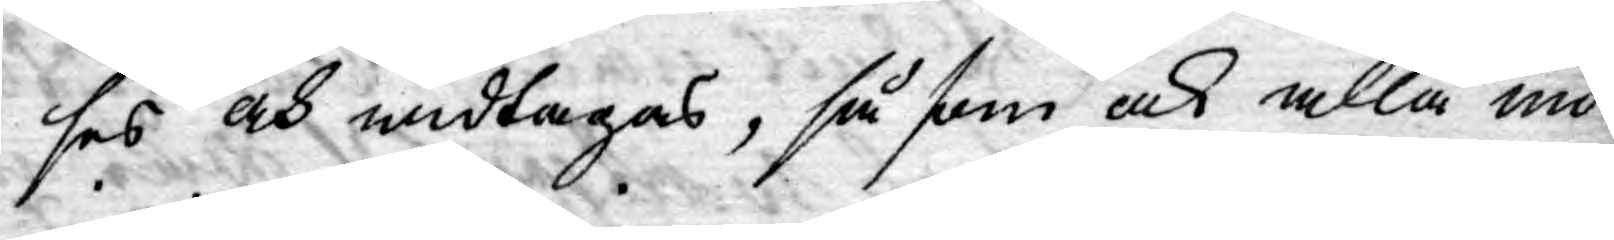ses och widtagas, så som ock alla mö¬
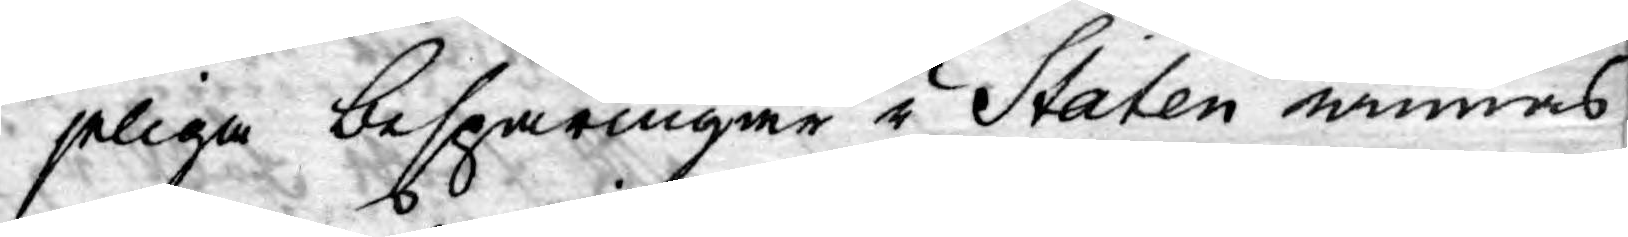jeliga besparingar i Staten winnas
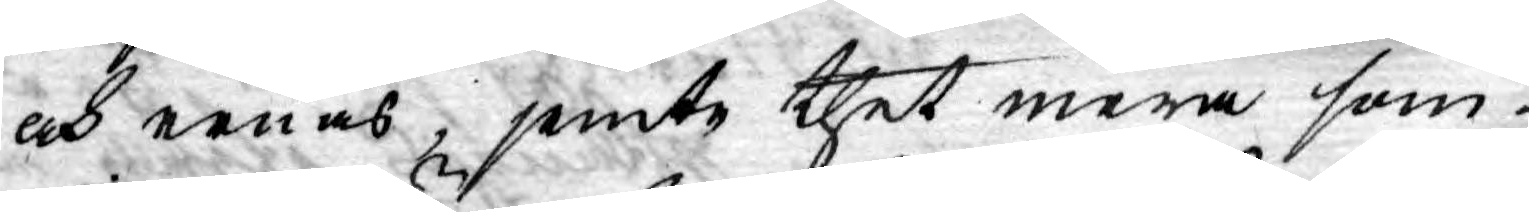och ernås, jemte thet mera som
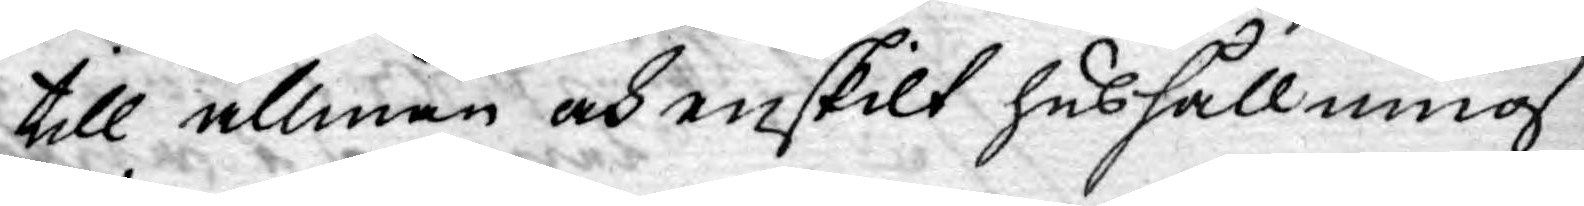till allmän och enskilt hushållning
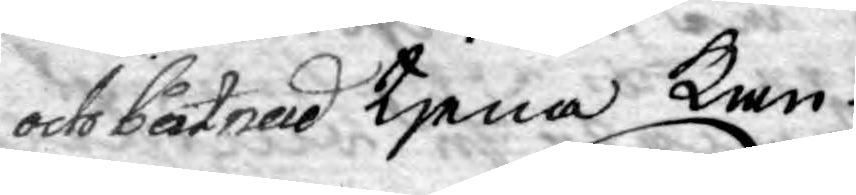och båtnad tjena Kan.
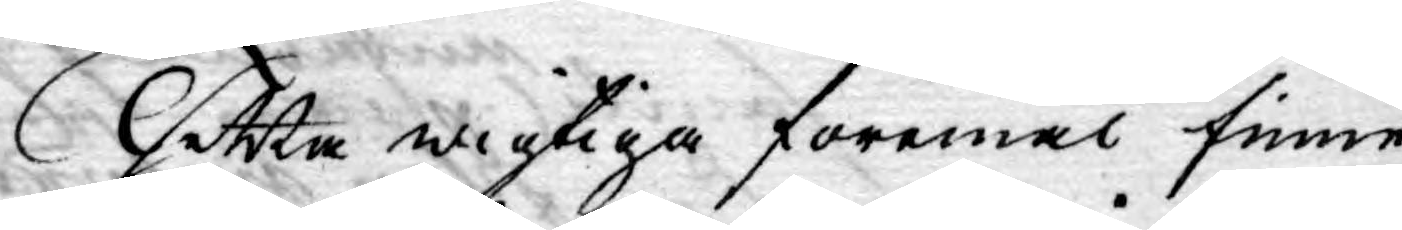Thetta wigtiga föremål finne
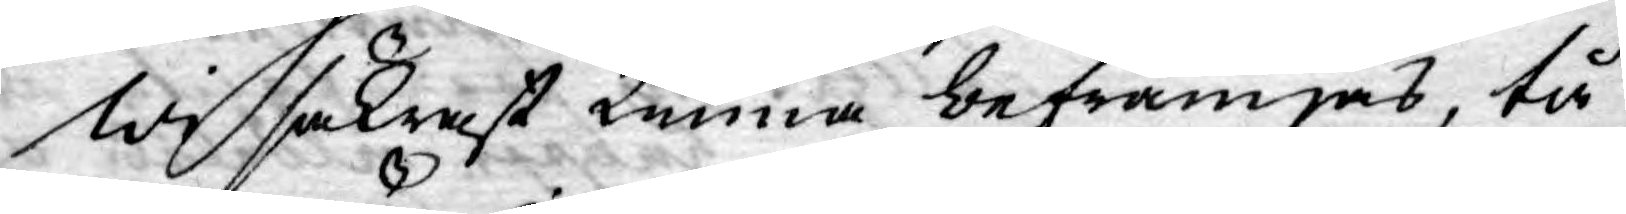Wi säkrast kunna befrämjas, tå
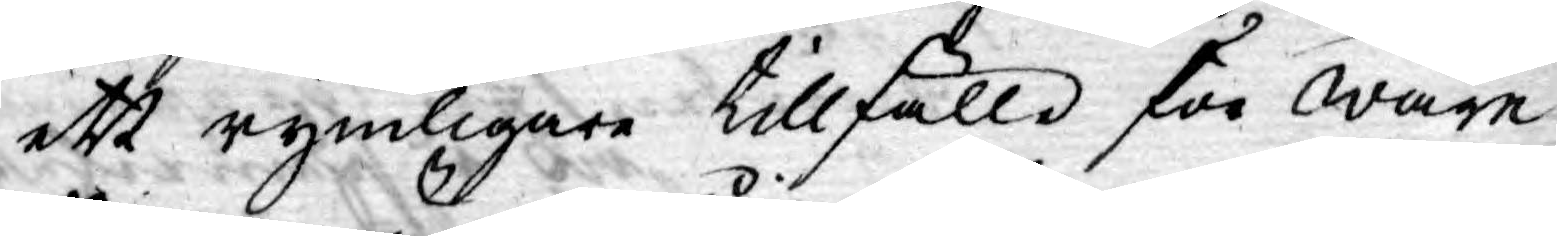ett rymligare tillfälle för wåre
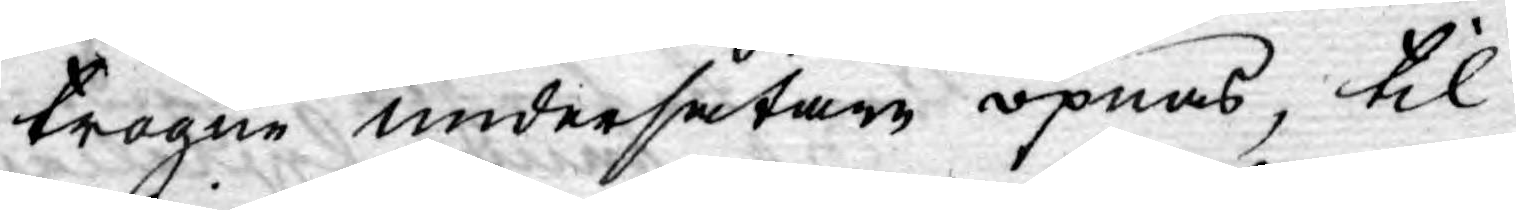trogne undersåtare öpnas, til
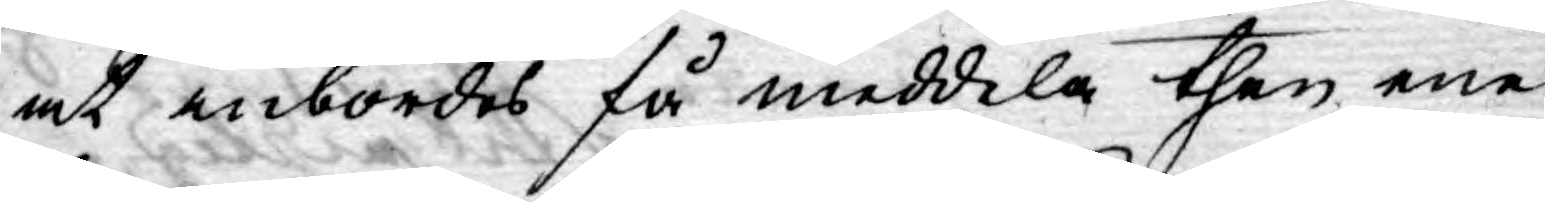at inbördes få meddela then ene
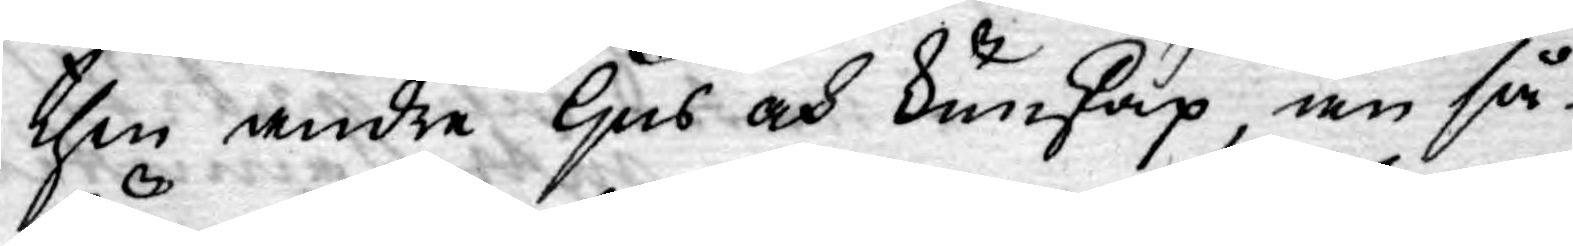then andre ljus och kunskap, än så
